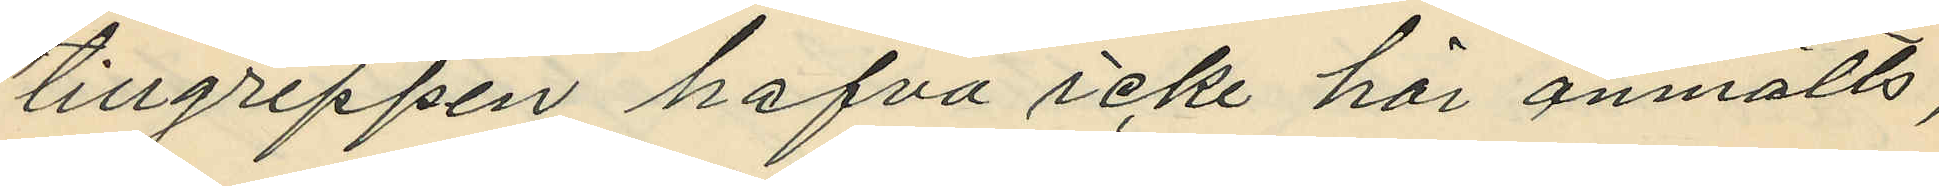tillgreppen hafva icke här anmälts,
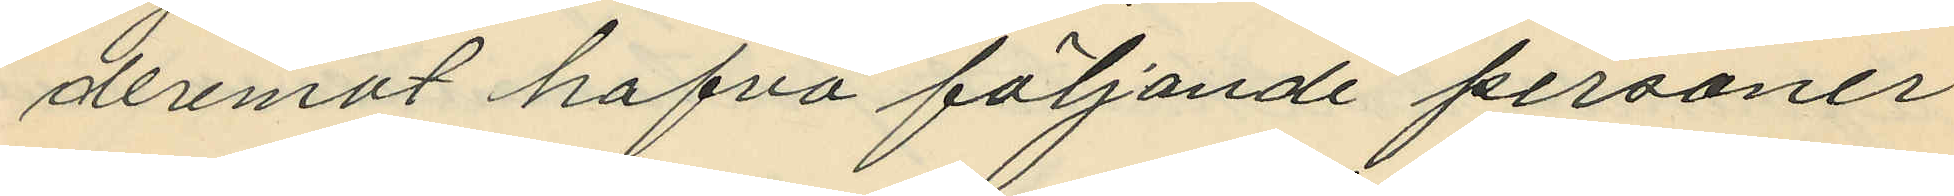deremot hafva följande personer
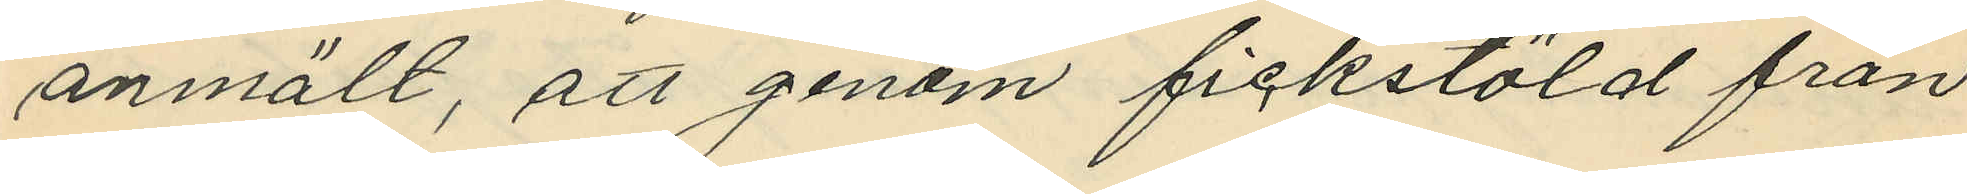anmält, att genom fickstöld från
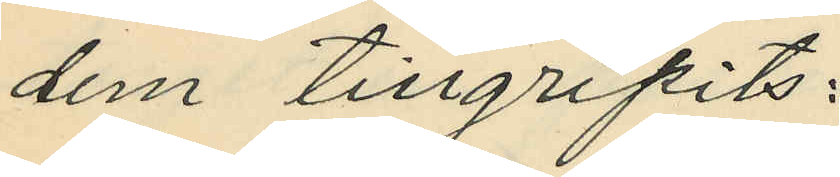dem tillgripits:
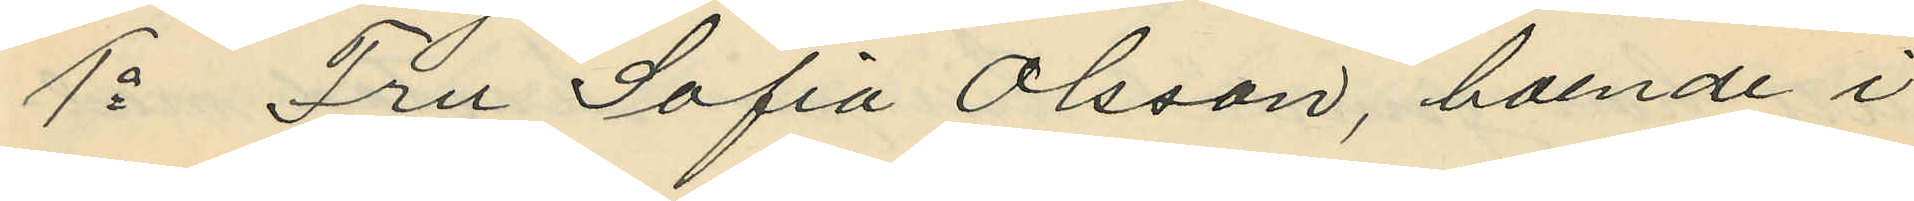1o Fru Sofia Olsson, boende i
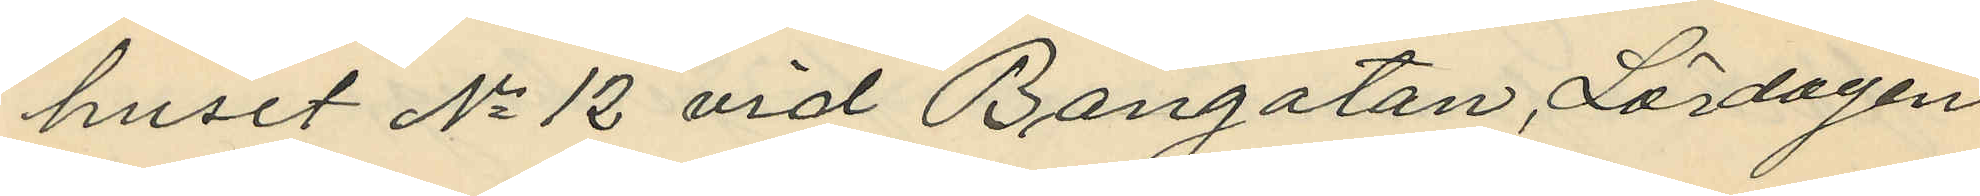huset No 12 vid Bangatan, Lördagen
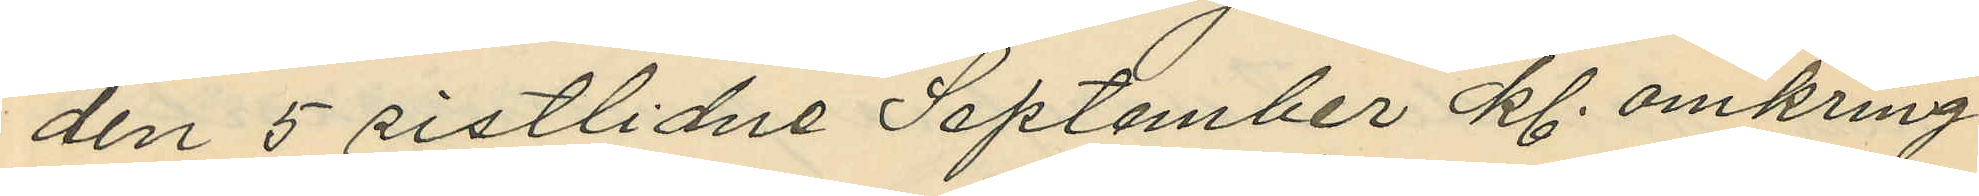den 5 sistlidne September kl. omkring
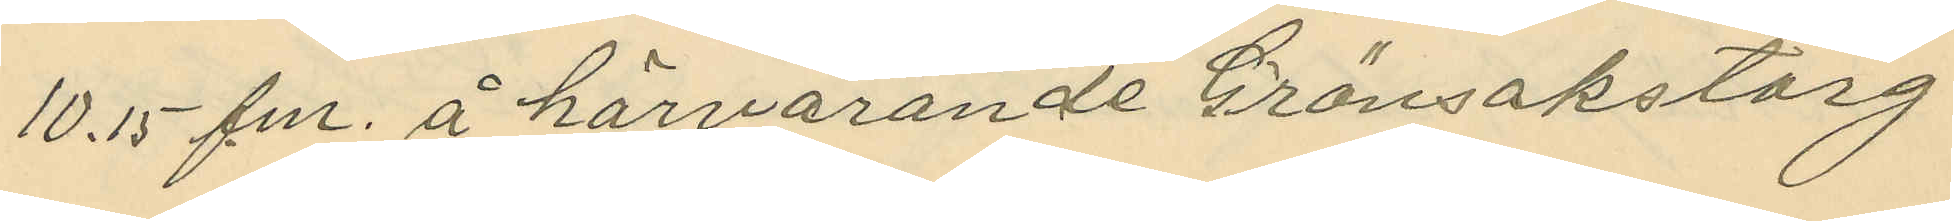10.15 f.m. å härvarande Grönsakstorg
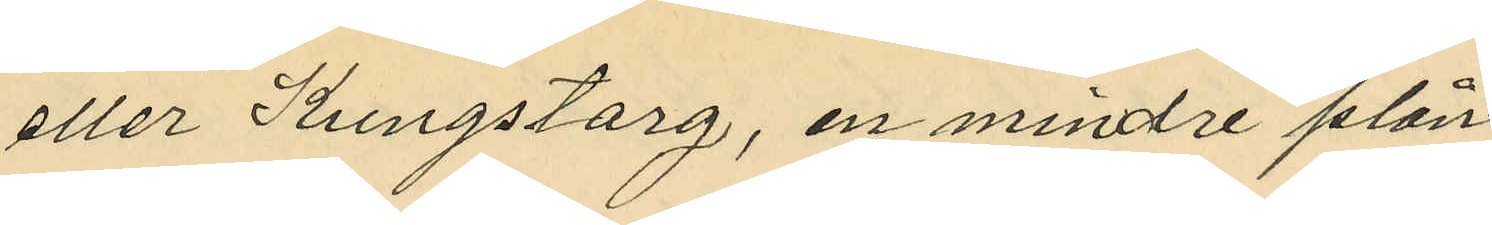eller Kungstorg, en mindre plån¬
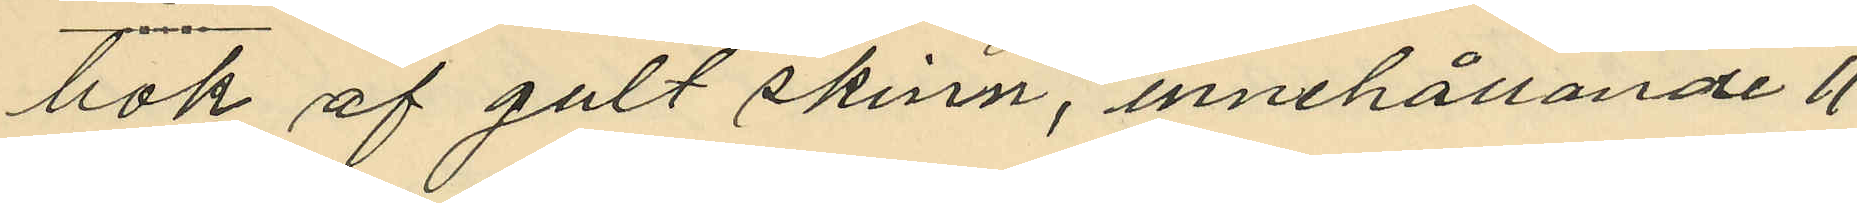bok af gult skinn, innehållande 11
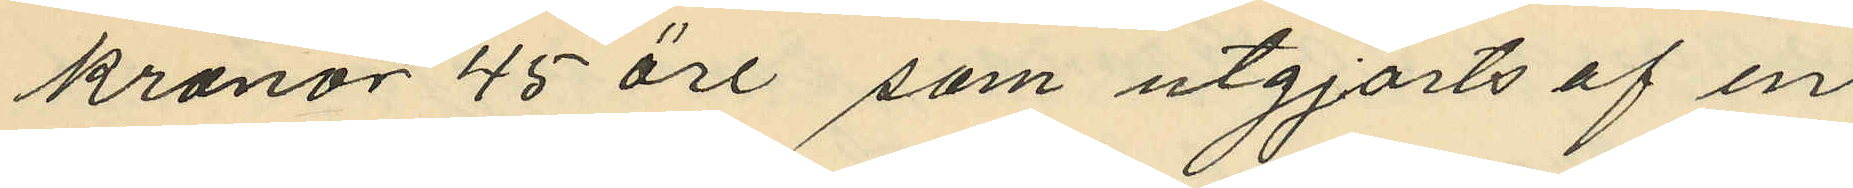kronor 45 öre som utgjorts af en
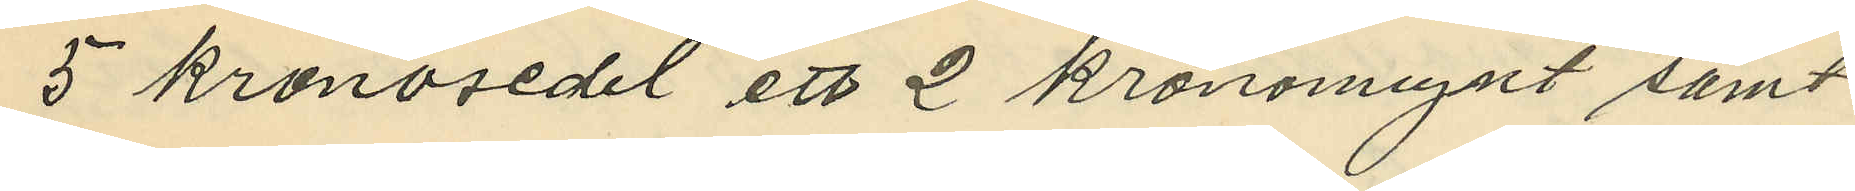5 kronosedel ett 2 kronomynt samt
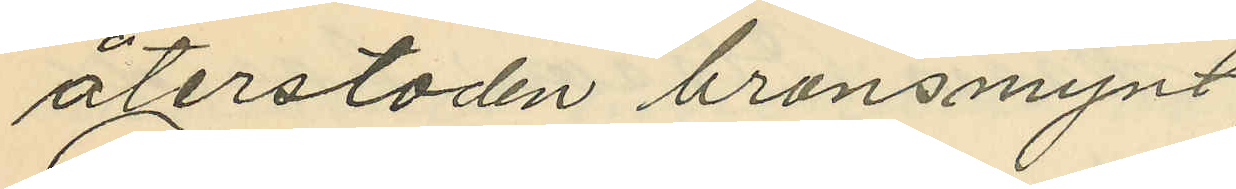återstoden bronsmynt;
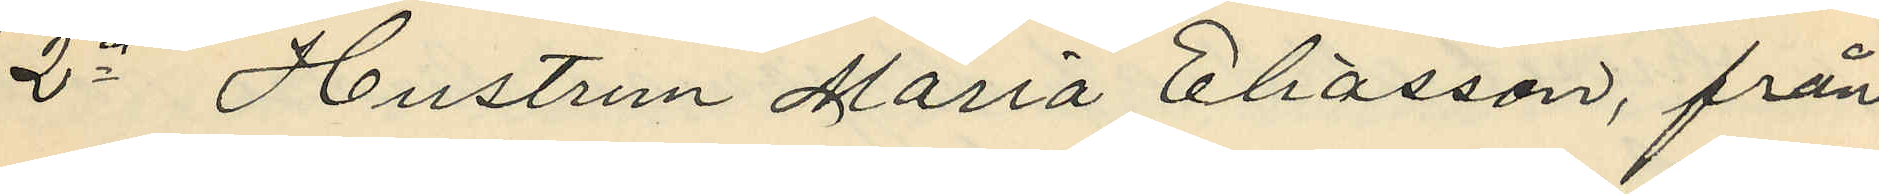2o Hustrun Maria Eliasson, från
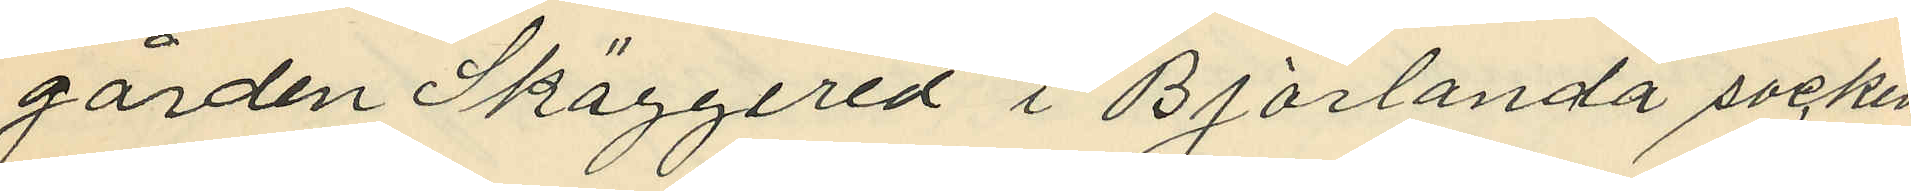gården Skäggered i Björlanda socken
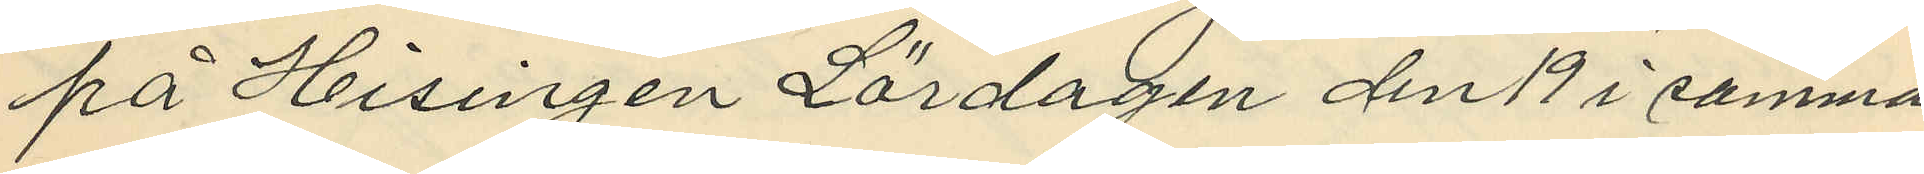på Hisingen Lördagen den 19 i samma
